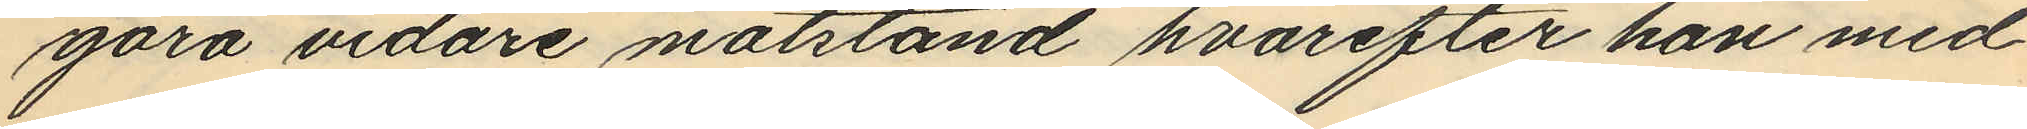göra vidare motstånd hvarefter han med
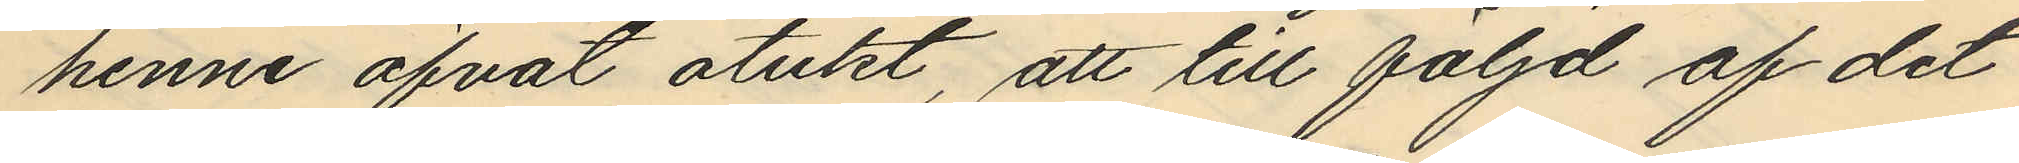henne öfvat otukt, att till följd af det
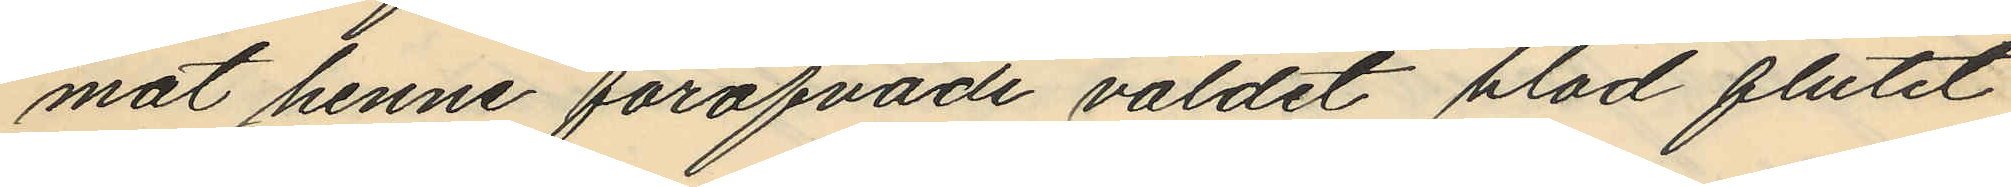mot henne föröfvade våldet blod flutit
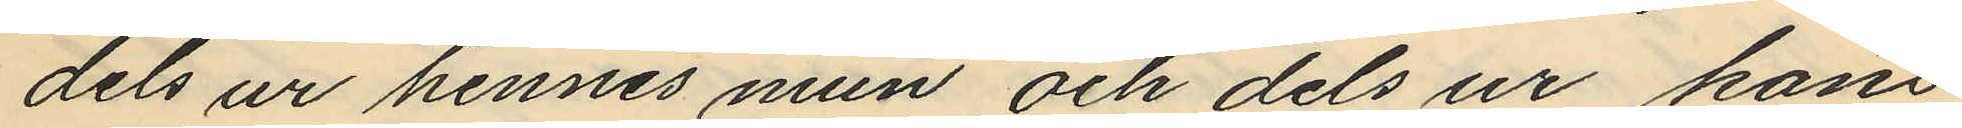dels ur hennes mun och dels ur köns¬
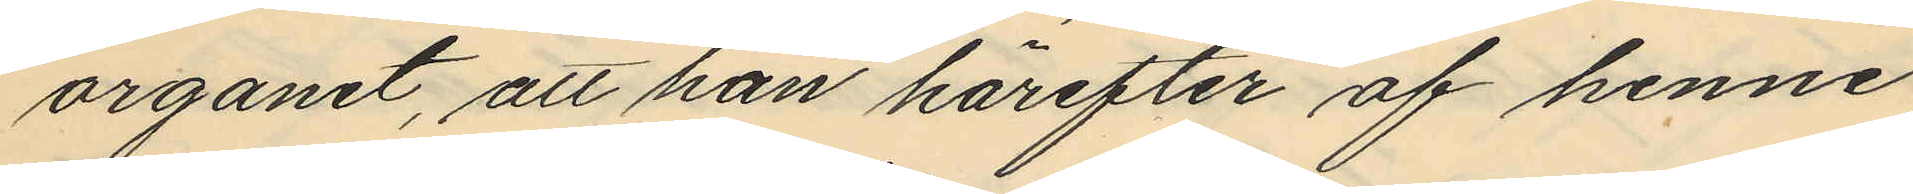organet, att han härefter af henne
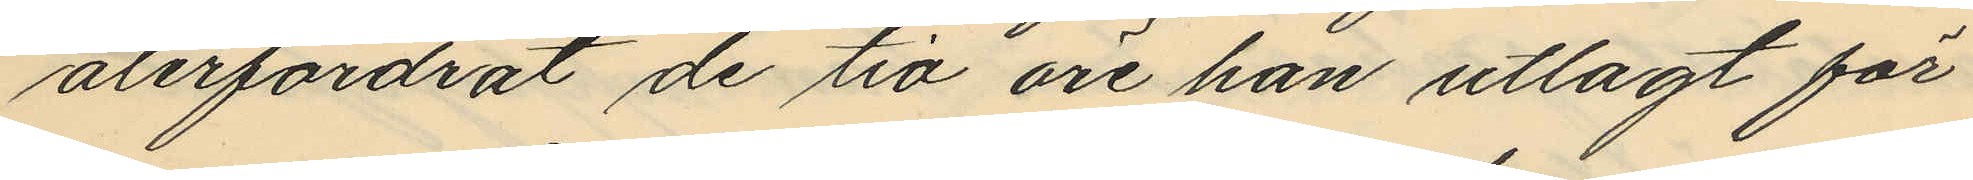återfordrat de tio öre han utlagt för
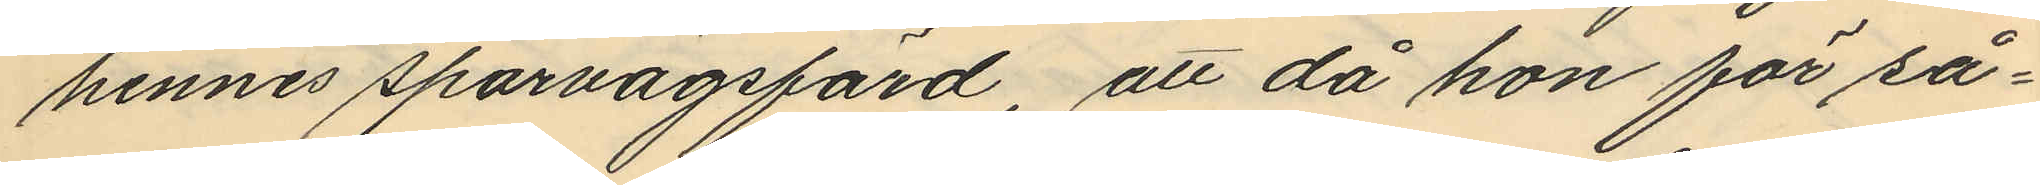hennes sparvägsfärd, att då hon för så¬
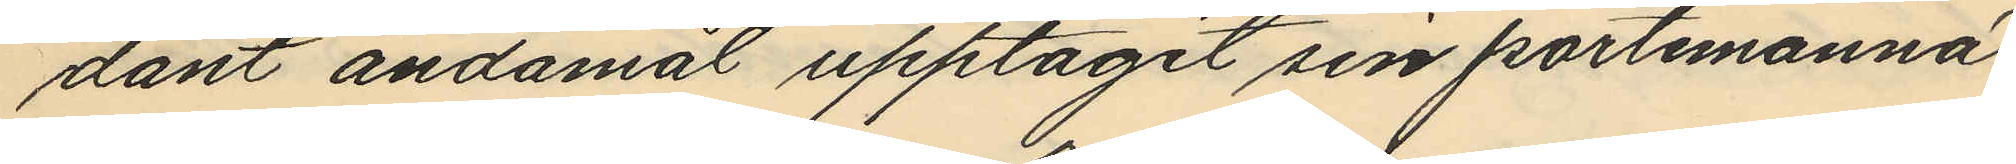dant ändamål upptagit sin portemonnä
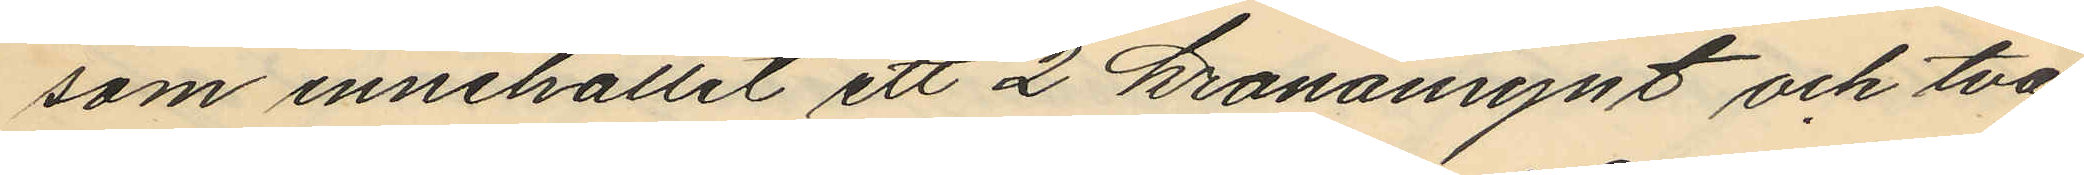som innehållit ett 2 kronomynt och två
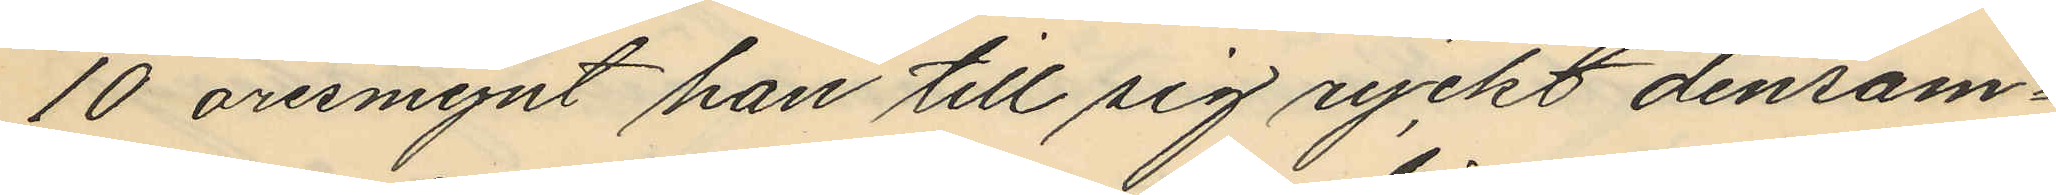10 öresmynt han till sig ryckt densam¬
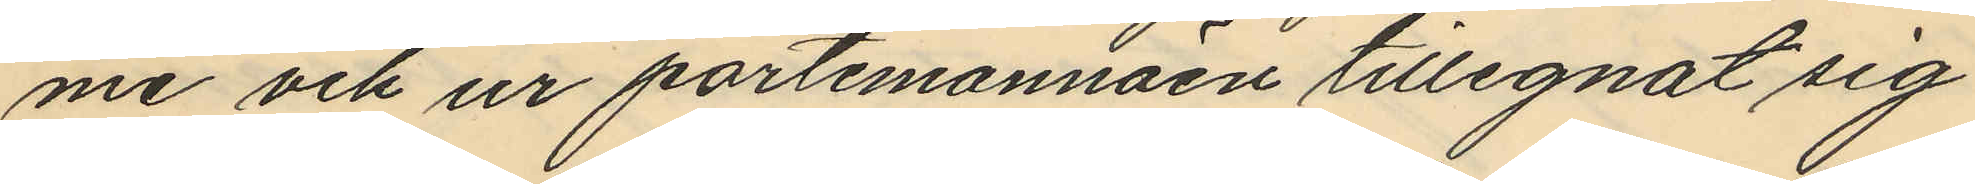me och ur portmonnäen tillegnat sig
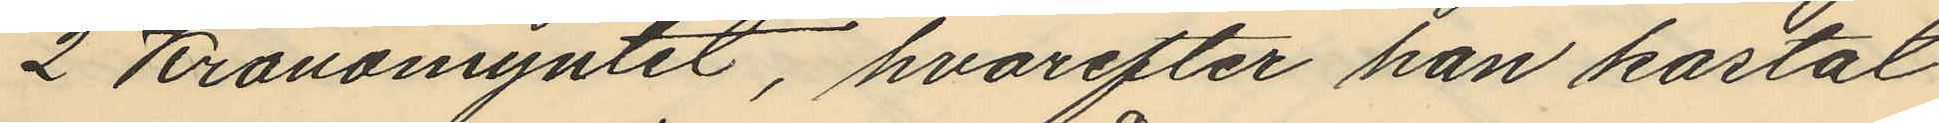2 Kronomyntet, hvarefter han kastat
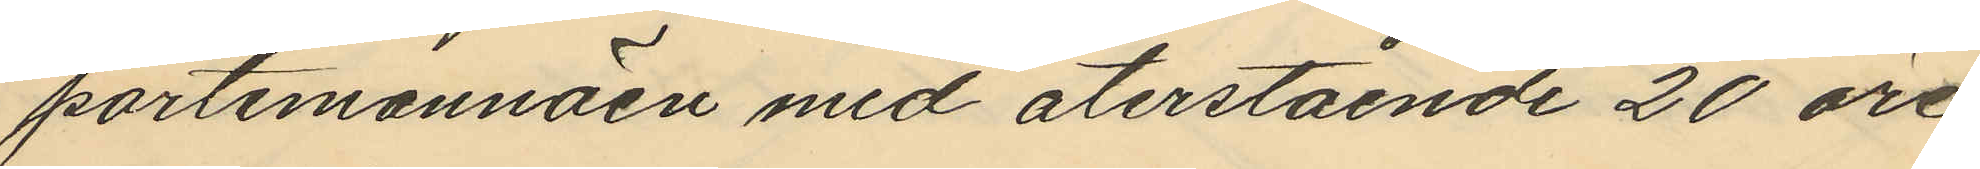portemonnäen med återstående 20 öre
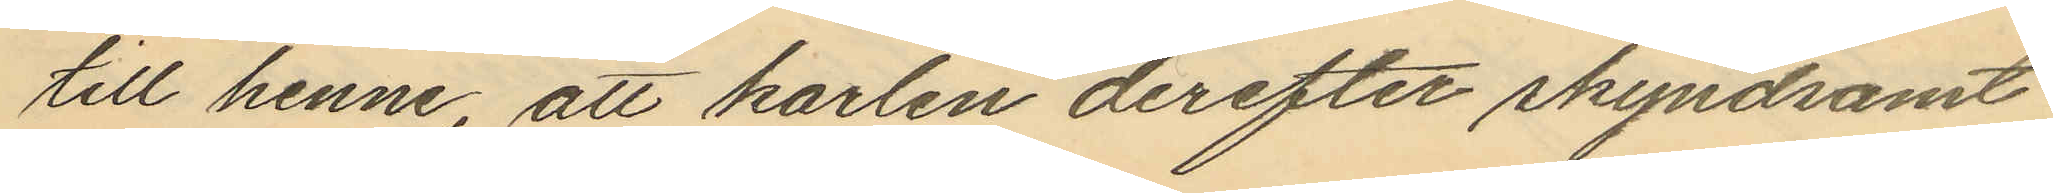till henne, att karlen derefter skyndsamt
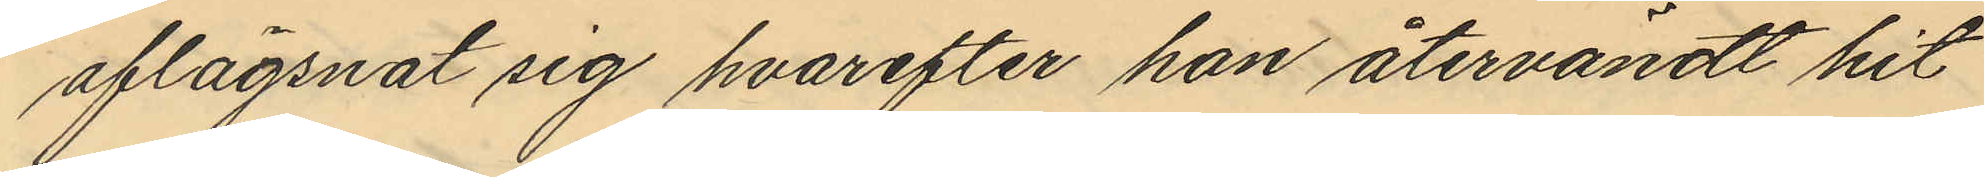aflägsnat sig, hvarefter han återvändt hit
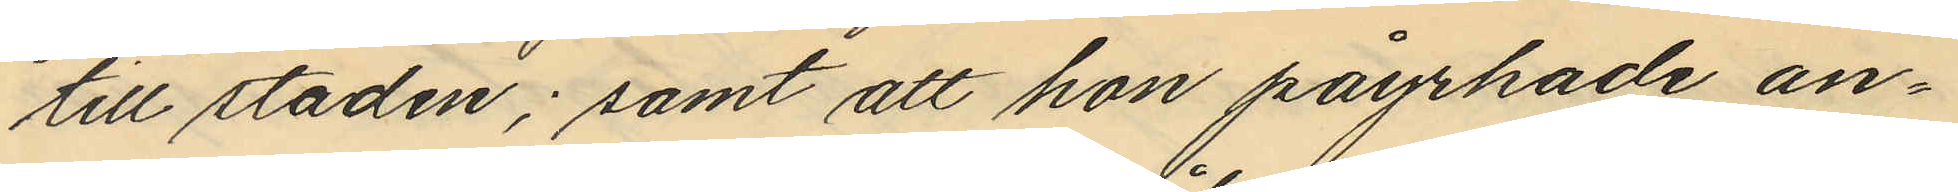till staden; samt att hon påyrkade an¬
